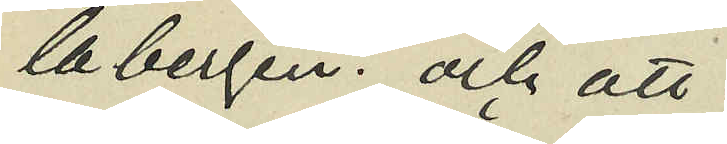labergen och att
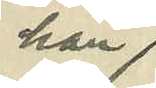han
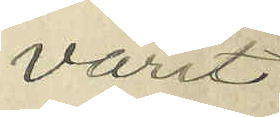varit
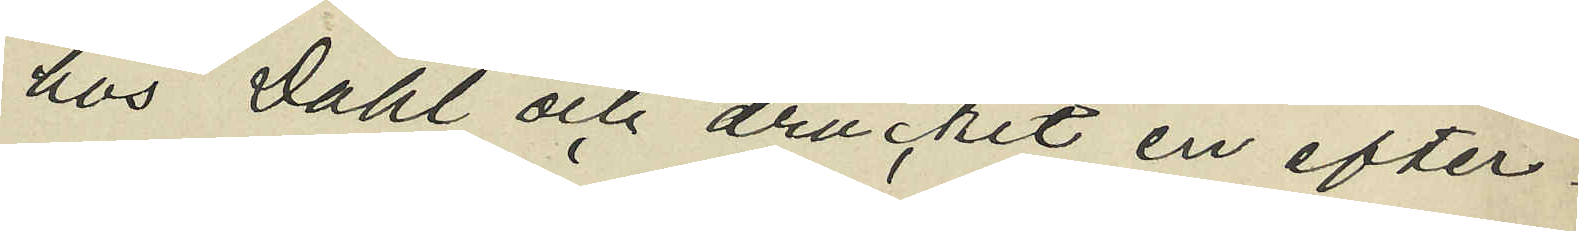hos Dahl och druckit en efter¬
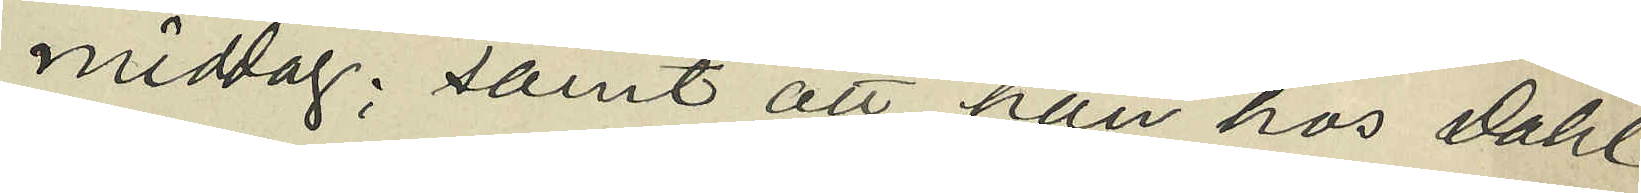middag; samt att han hos Dahl
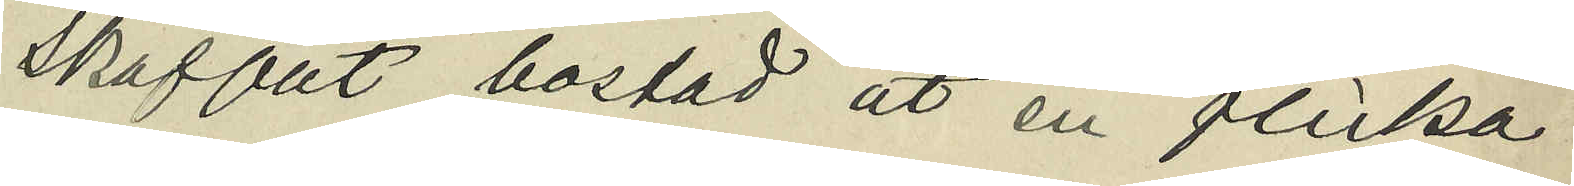skaffat bostad åt en flicka
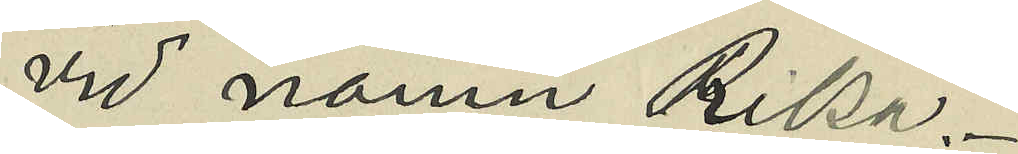vid namn Rika.
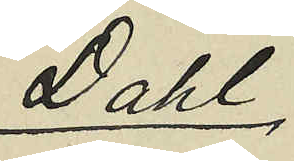Dahl
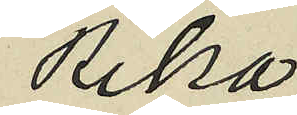Rika
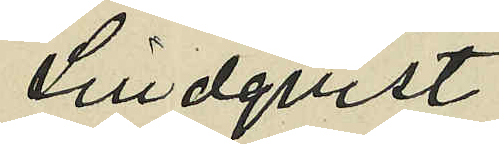Lindqvist
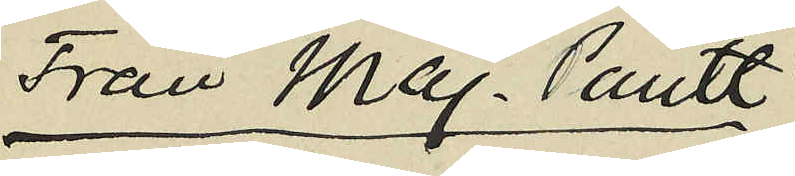Från Maj. Pantt
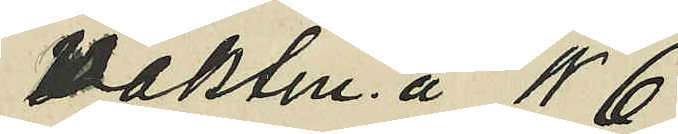Vaktm å N6
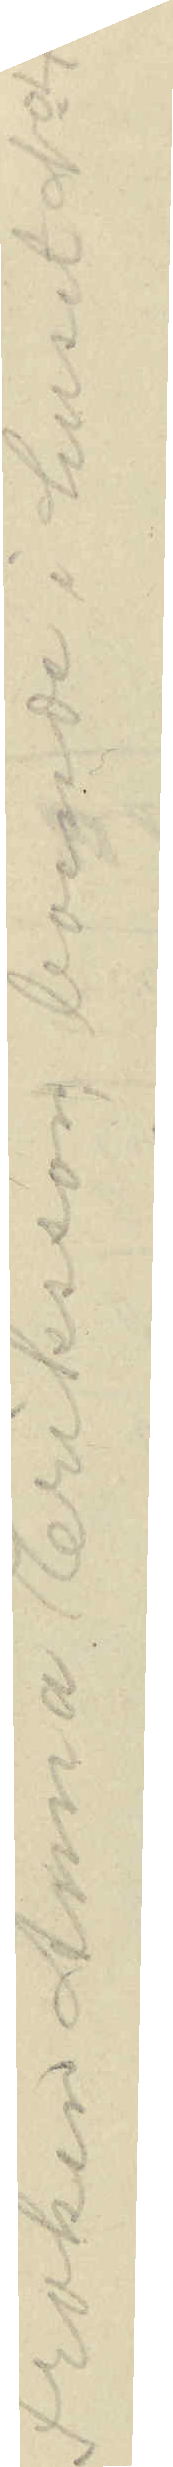Fröken Anna Eriksson, boende i huset No 47
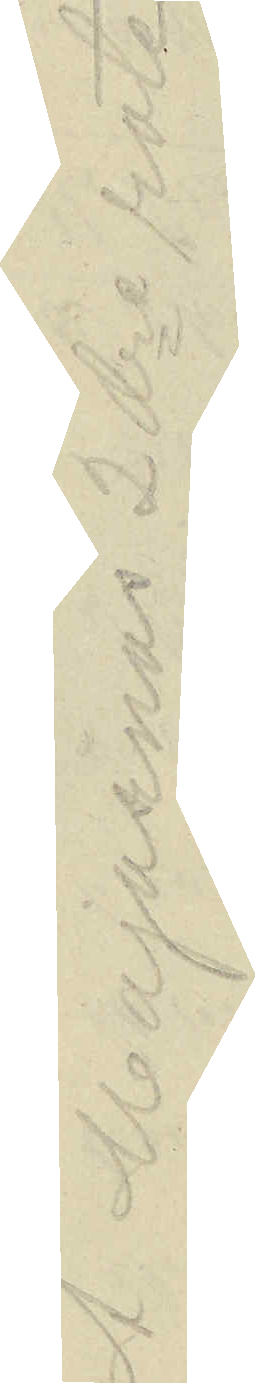I Majornas 2dre rote
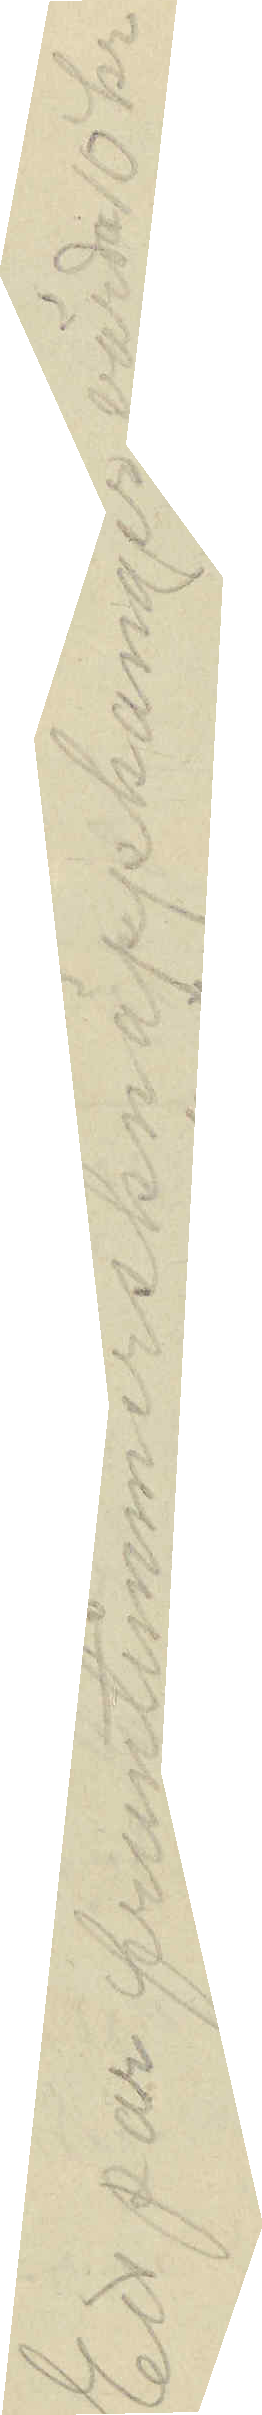Ett par fruntimmersknappkänger värda 10 kr
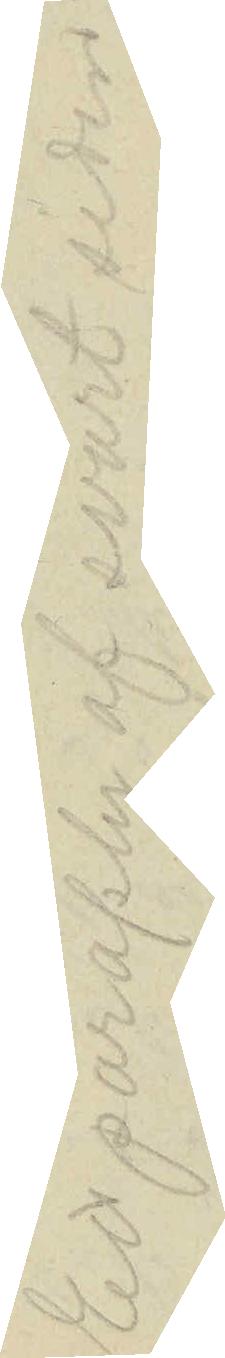Ett paraply af svart siden
